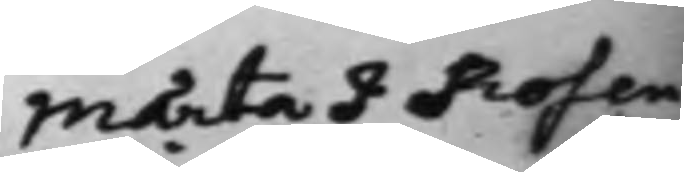Märta J Rosen¬
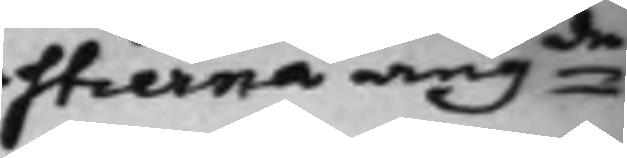stierna angde
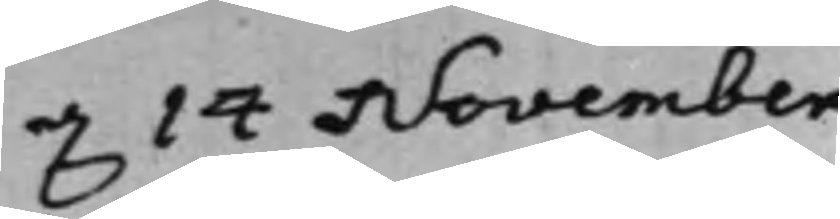d. 14 November
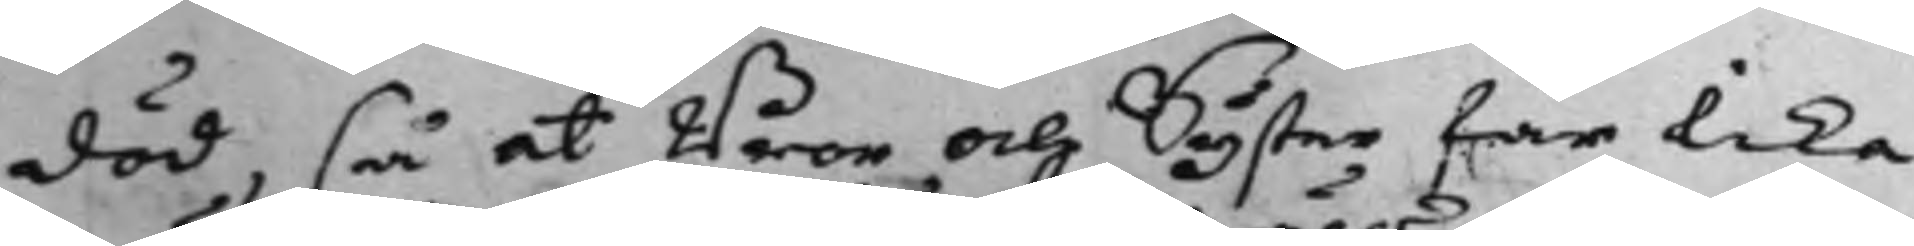död, så at Bror och Syster får lika
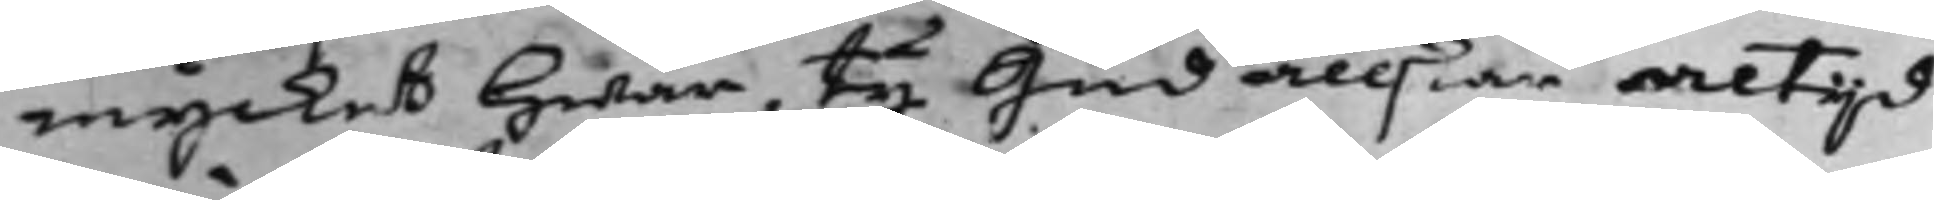mycket Hwar, ty Gud ällskar altijd
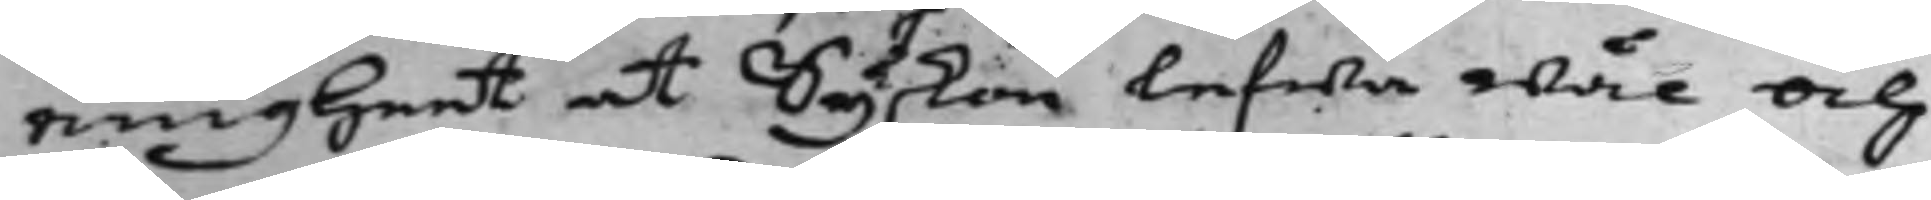enigheet at Syskon lefwa wäl och
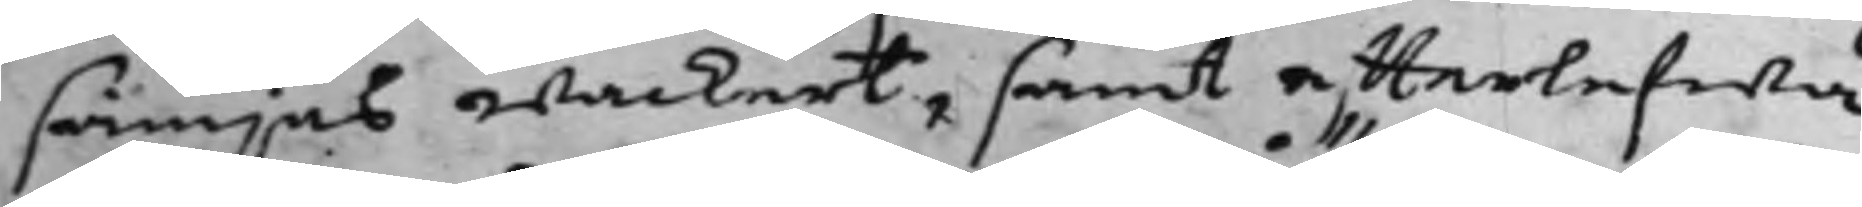sämjas wackert, samt effterlefwa
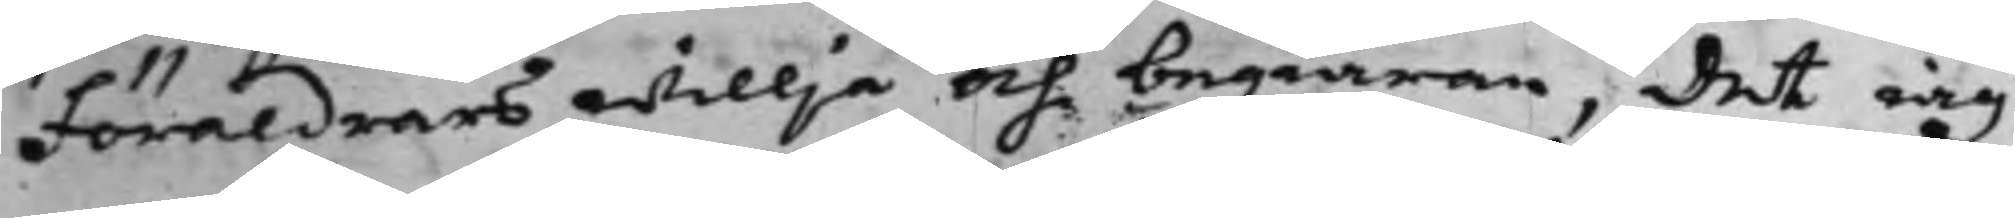Föräldrars willja och begiäran, det iag
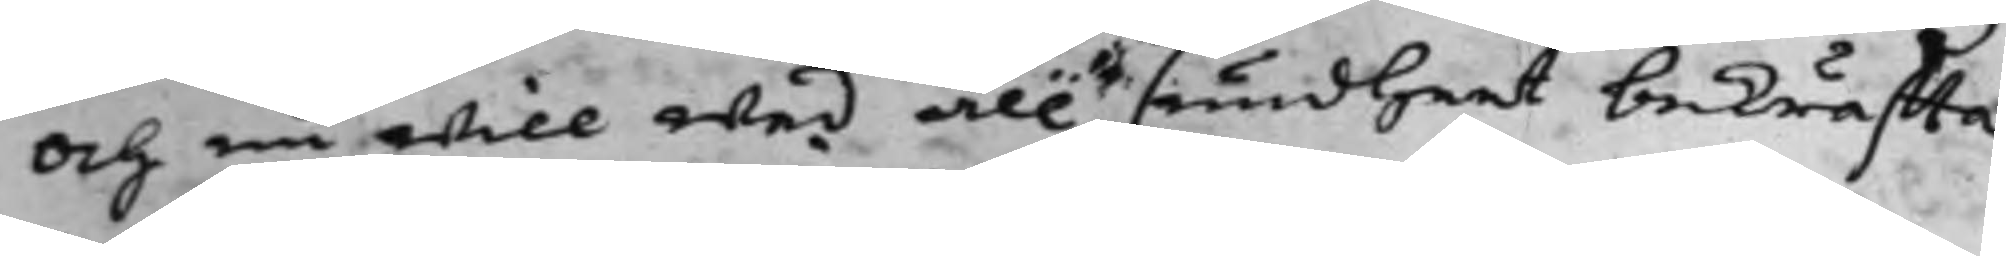och nu will wed all sundheet bekräffta.
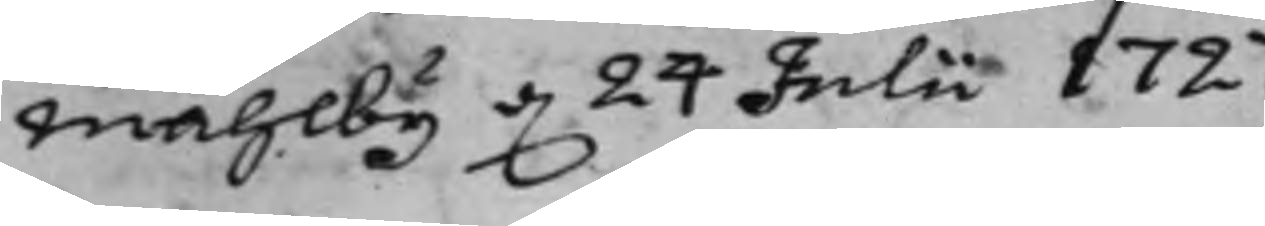Mählby d. 24 Julii 1727.
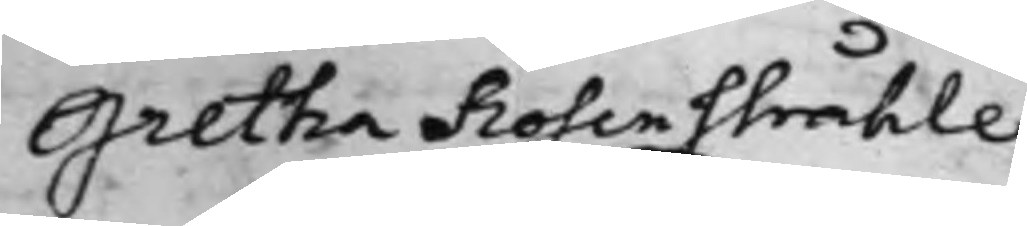Gretha Rosenstråhle
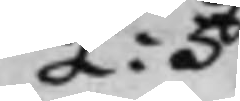L: S
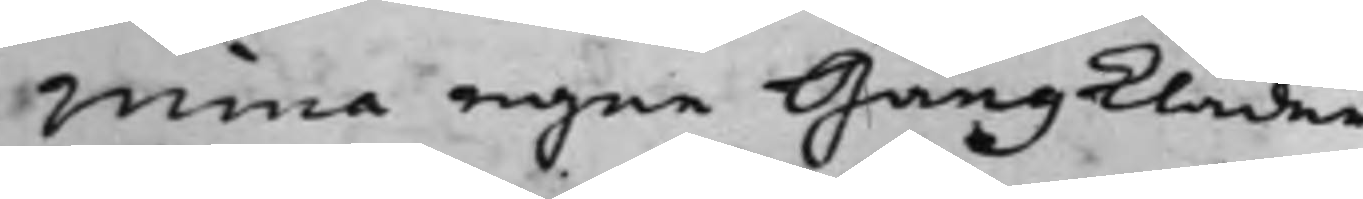Mina egne Gångkläder
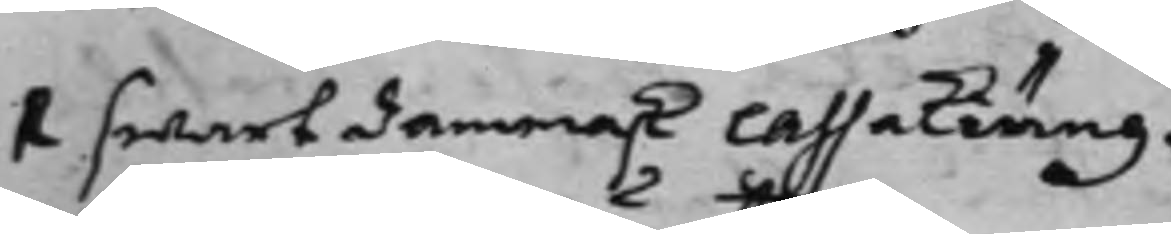1 swart damask Caffakiäng. 1 swart armosins Kappa.
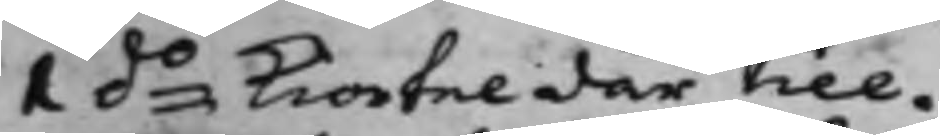1 do Kiortel där till.
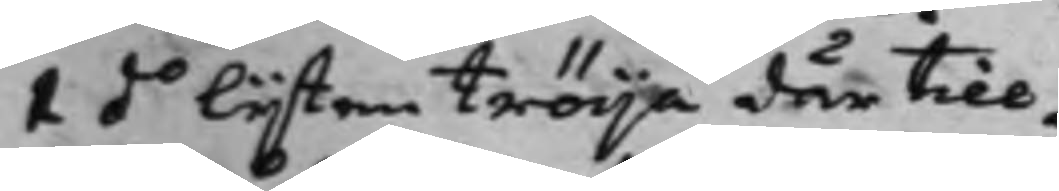1 do lijten tröija där till.
